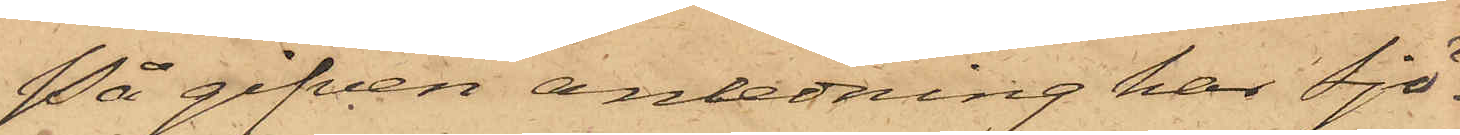På gifven anledning har Sjö¬
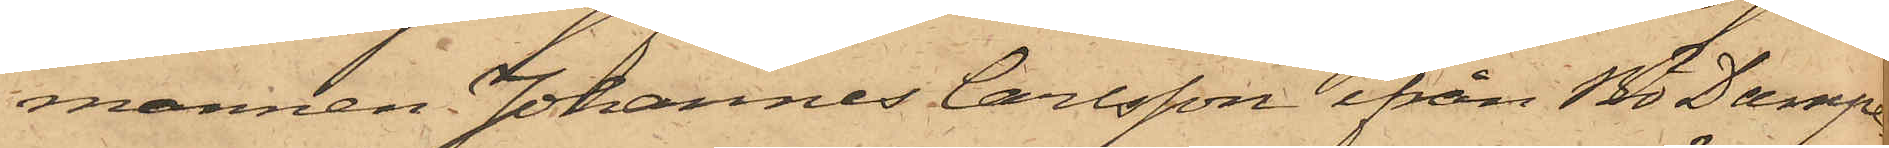mannen Johannes Carlsson ifrån Bö Dampe¬
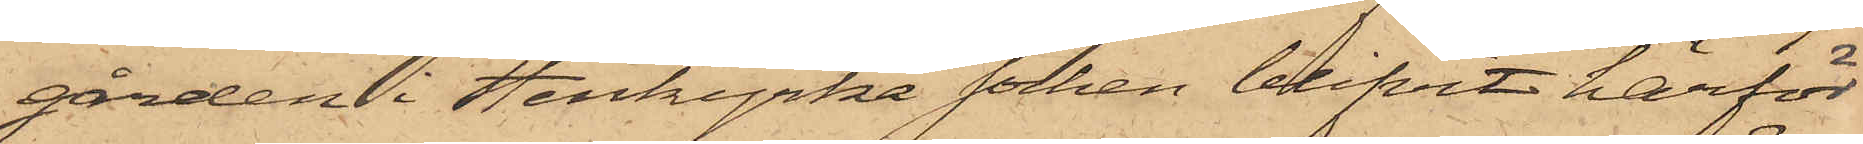gården i Stenkyrka socken blifvit härför
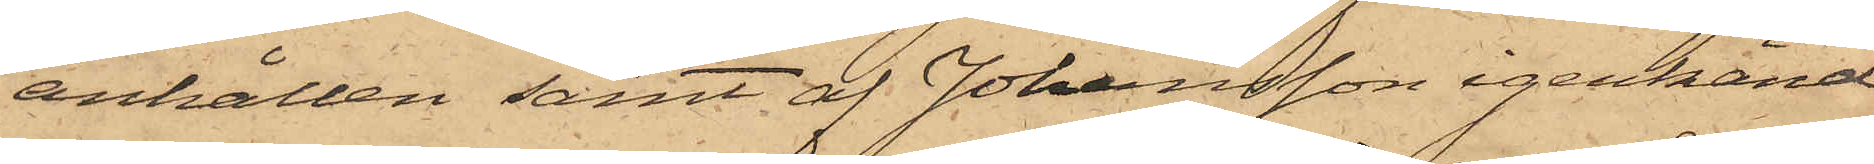anhållen samt af Johansson igenkänd
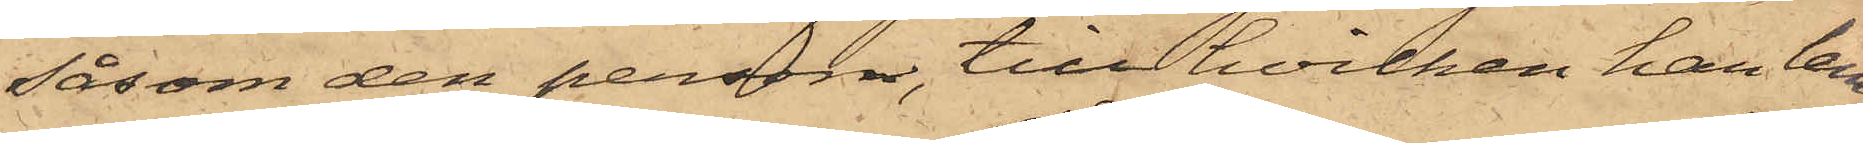såsom den person, till hvilken han lem¬
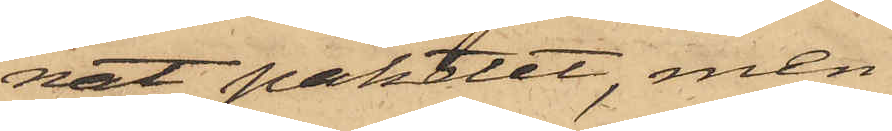nat paketet, men
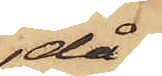då
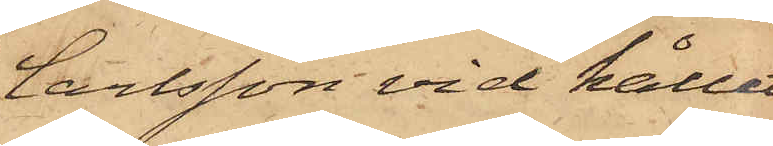Carlsson vid hållet
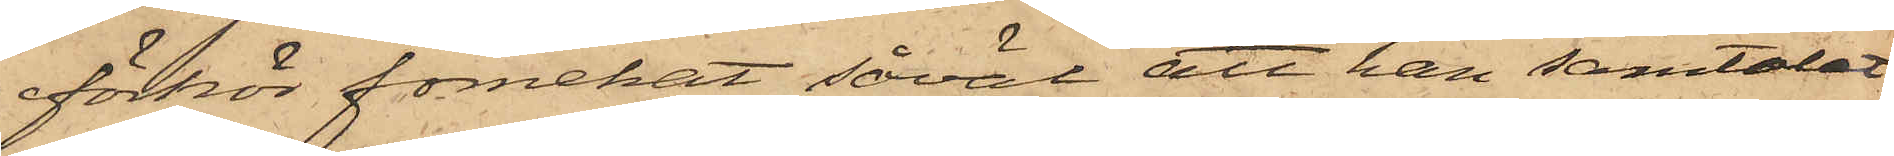förhör förnekat såväl att han samtalat
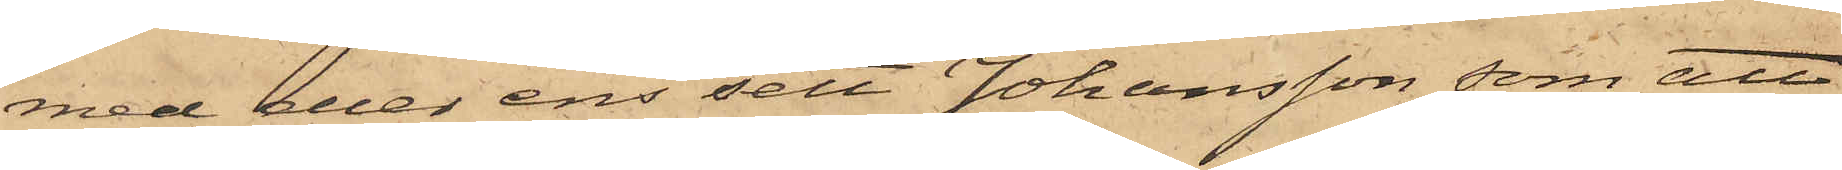med eller ens sett Johansson, som att
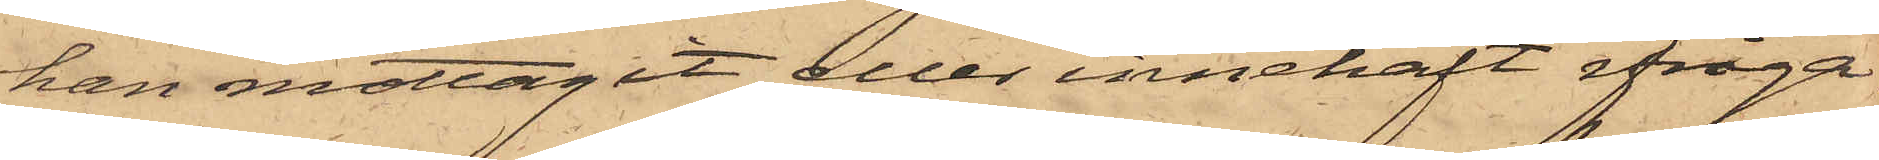han mottagit eller innehaft ifråga¬
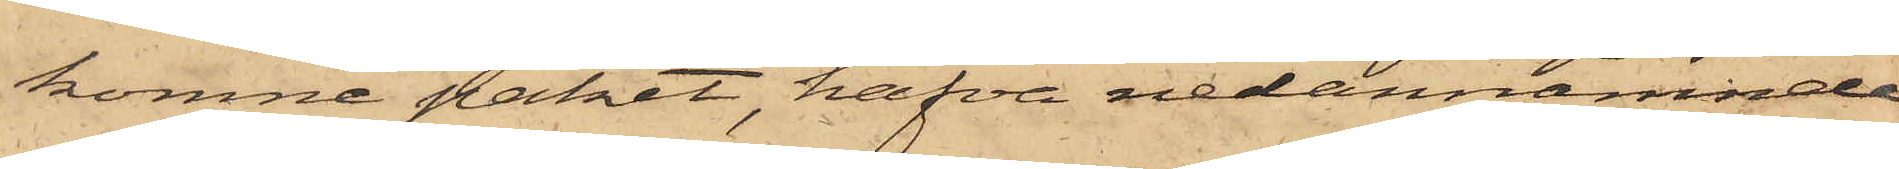komne paket, hafva nedannämnde
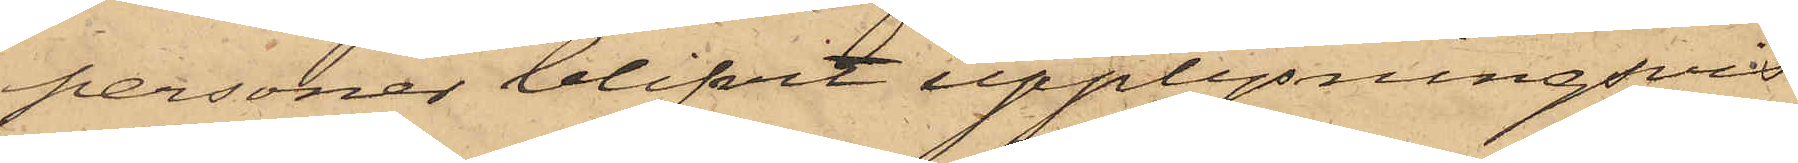personer blifvit upplysningsvis
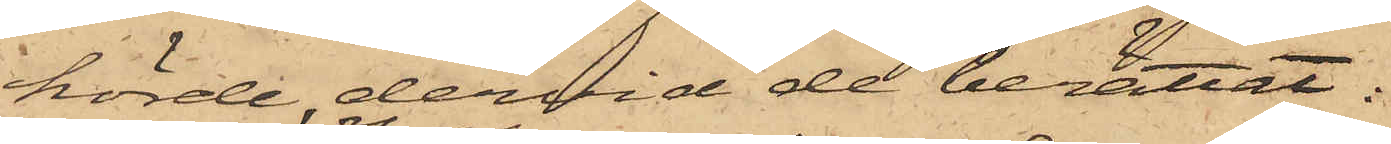hörde, dervid de berättat:
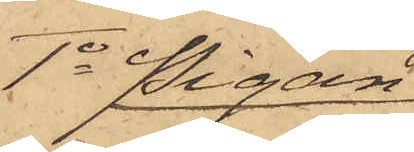1o Pigan
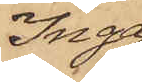Inga
